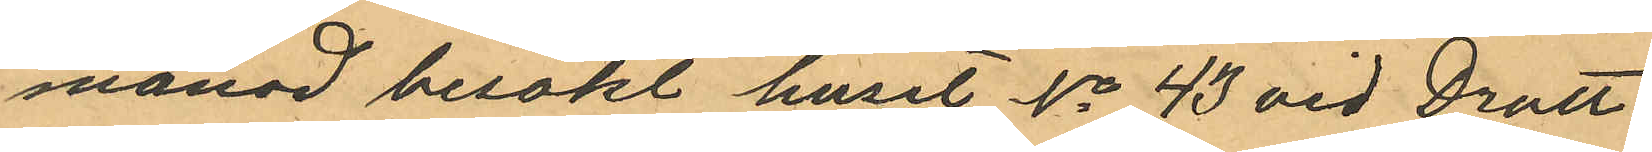månad besökt huset No 43 vid Drott¬
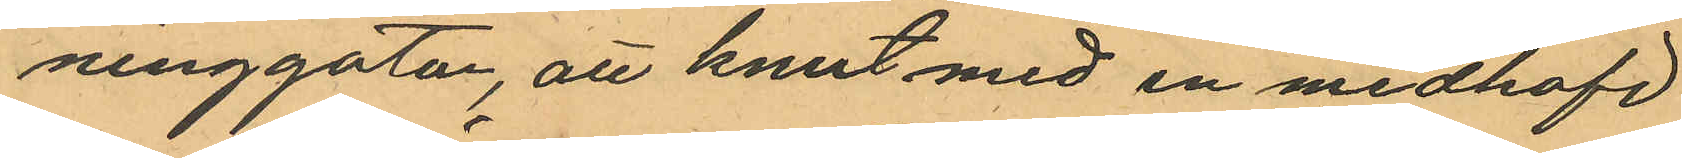ninggatan, att Knut med en medhafd
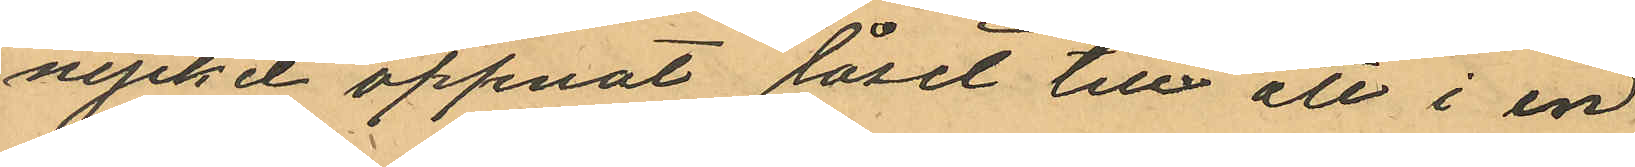nyckel öppnat låset till ett i en
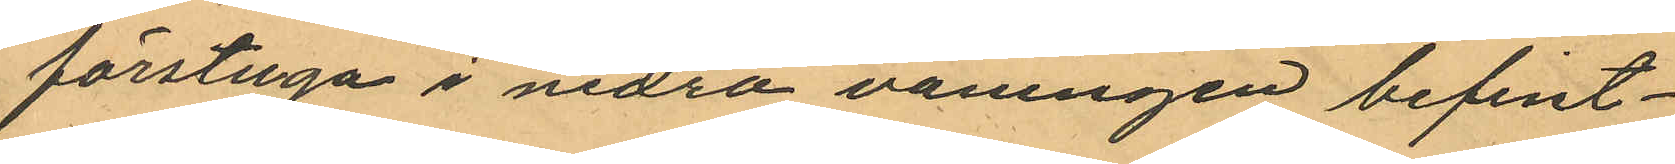förstuga i nedra våningen befint¬
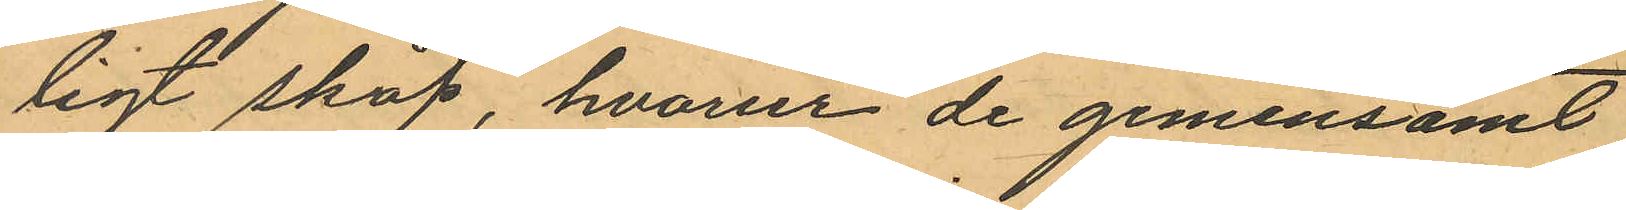ligt skåp, hvarur de gemensamt
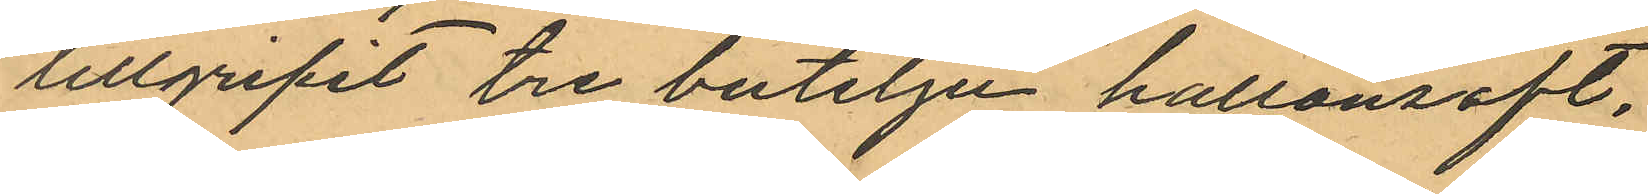tillgripit tre buteljer hallonsaft,
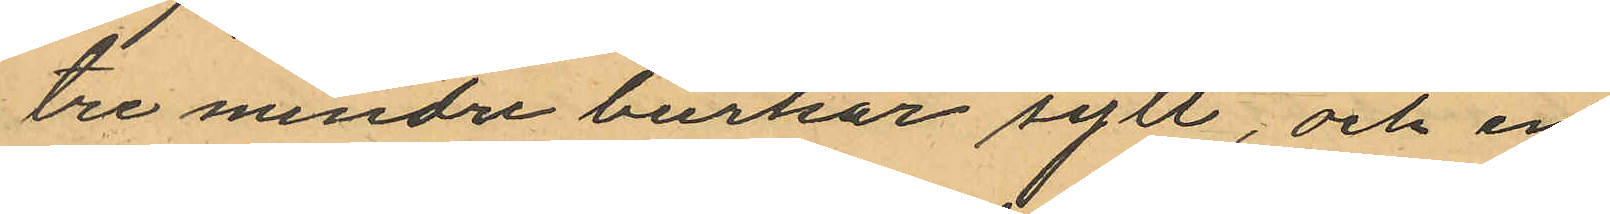tre mindre burkar sylt, och en
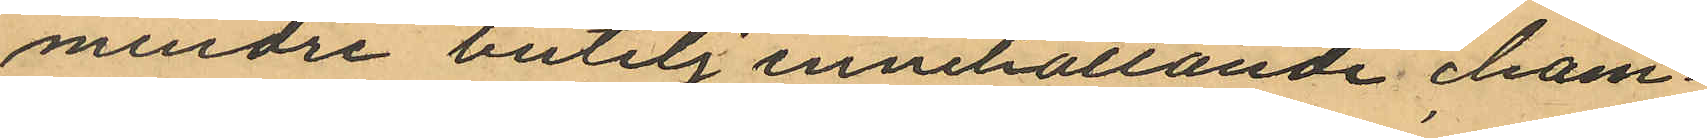mindre butelj innehållande cham¬
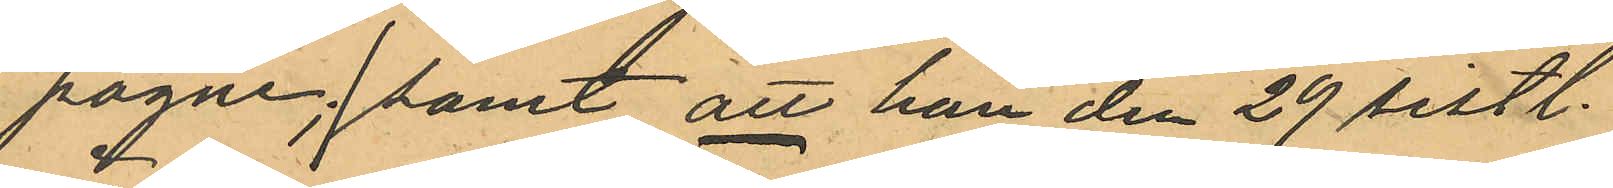pagne; samt att han den 29 sistl.
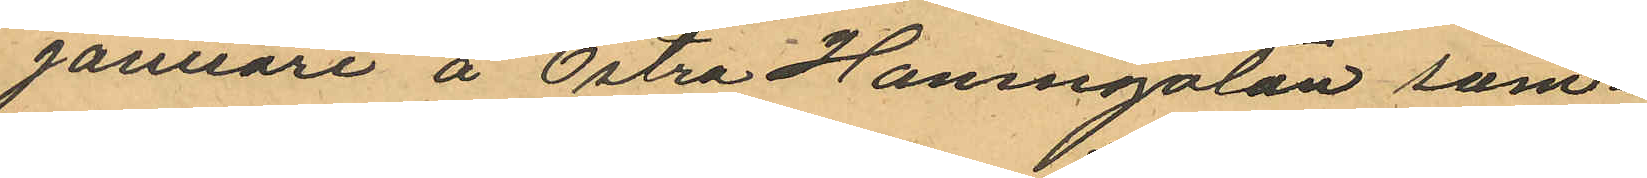Januari å Östra Hamngatan sam¬
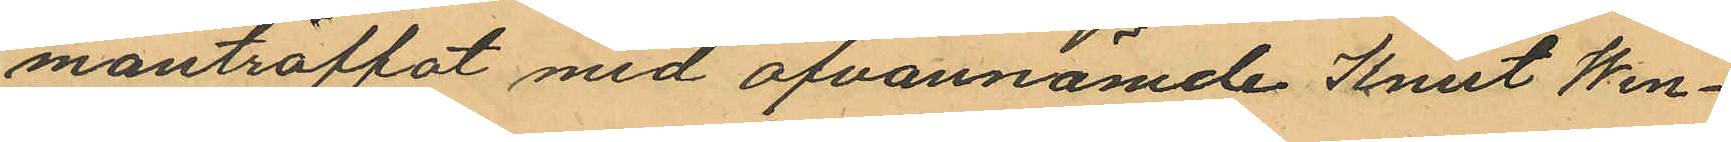manträffat med ofvannämde Knut Wen¬
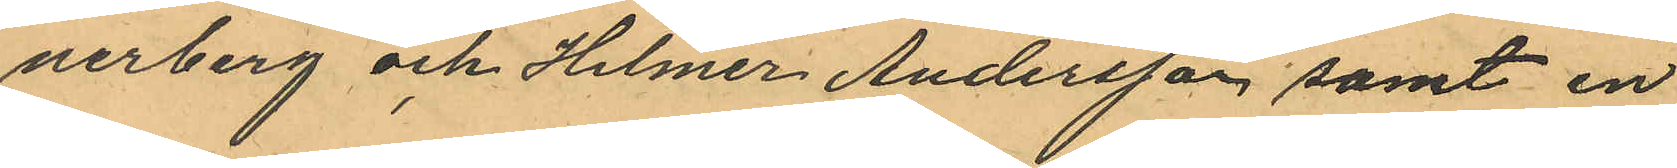nerberg och Helmer Andersson samt en
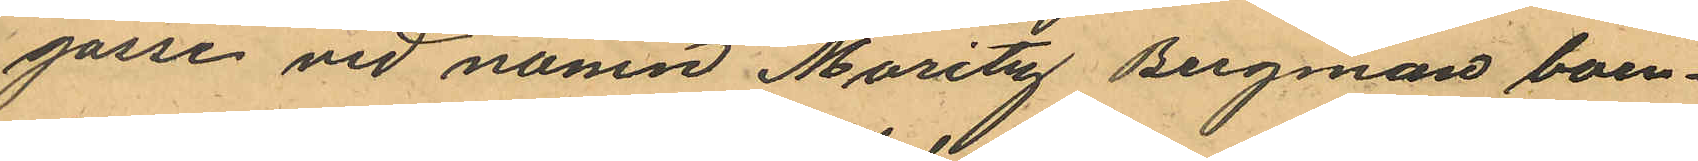gosse vid namn Moritz Bergman boen¬
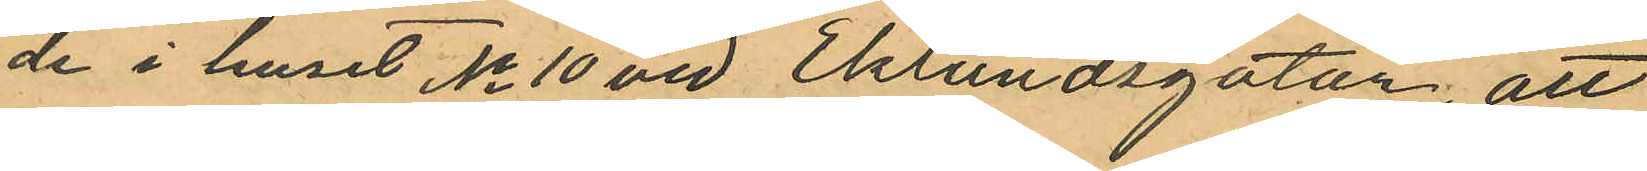de i huset No 10 vid Eklundsgatan; att
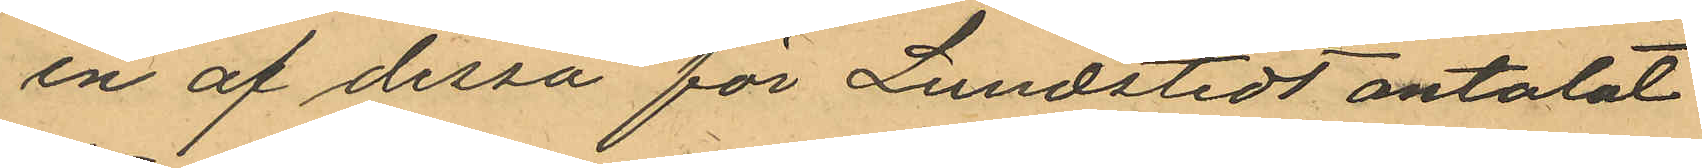en af dessa för Lundstedt omtalat
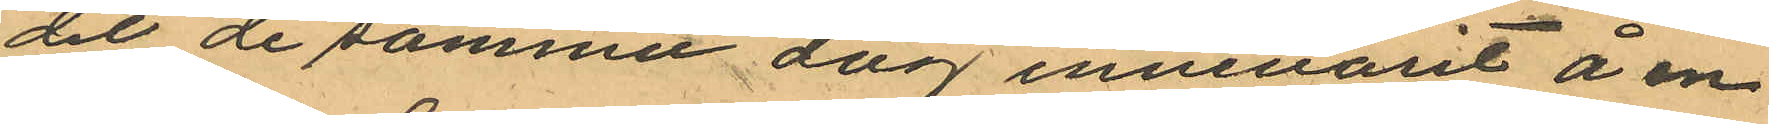det de samme dag innevarit å en
